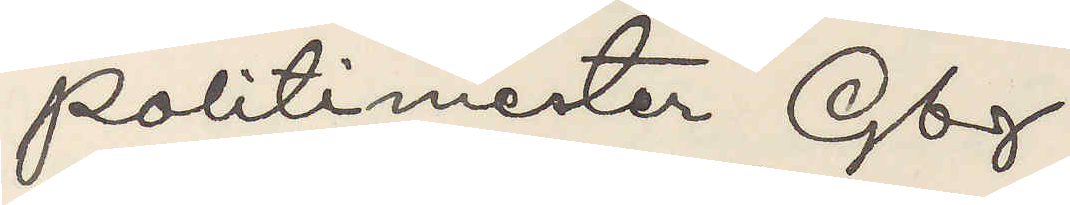Politimester Gbg.
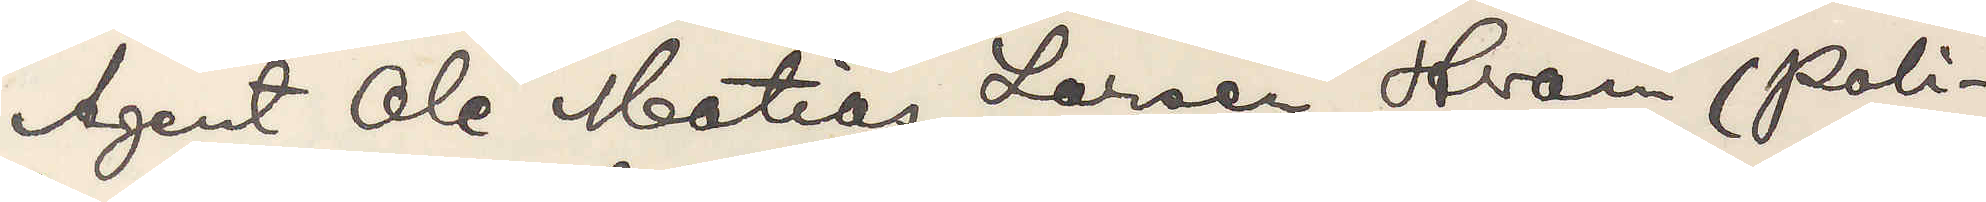Agent Ole Matias Larsen Hvann (poli¬
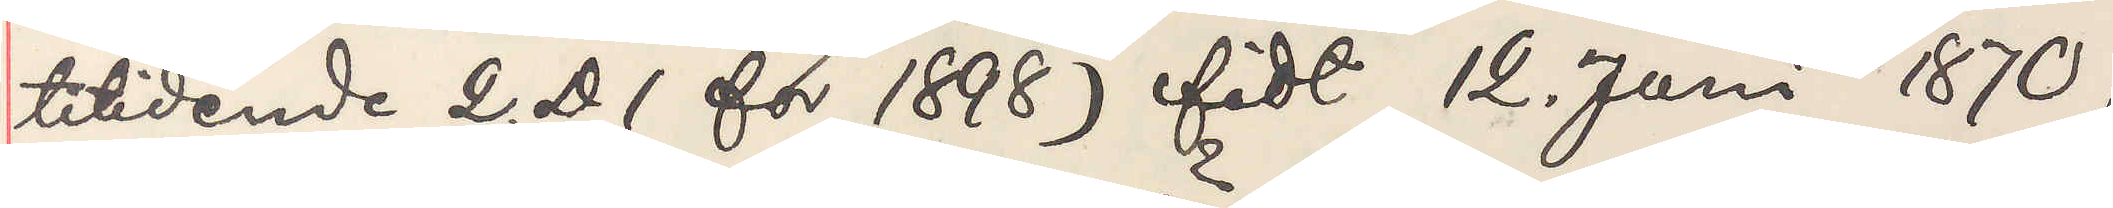titidene 2. D 1 för 1898) födt 12. Juni 1870,
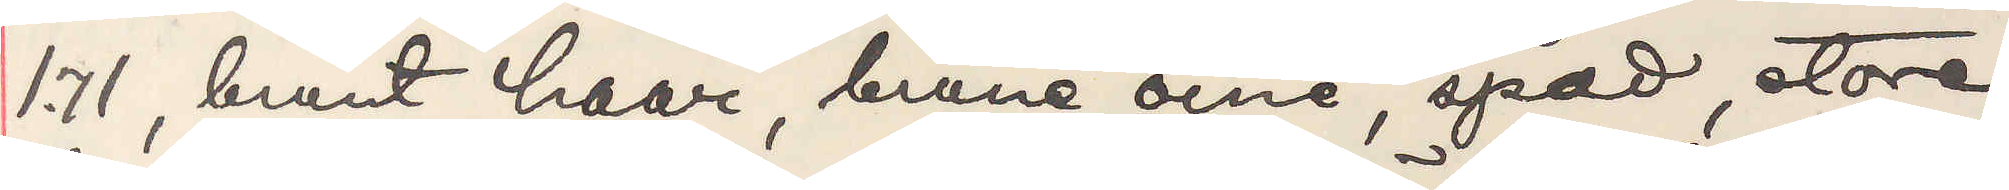1,71 brunt haar, brune öine, spad, store
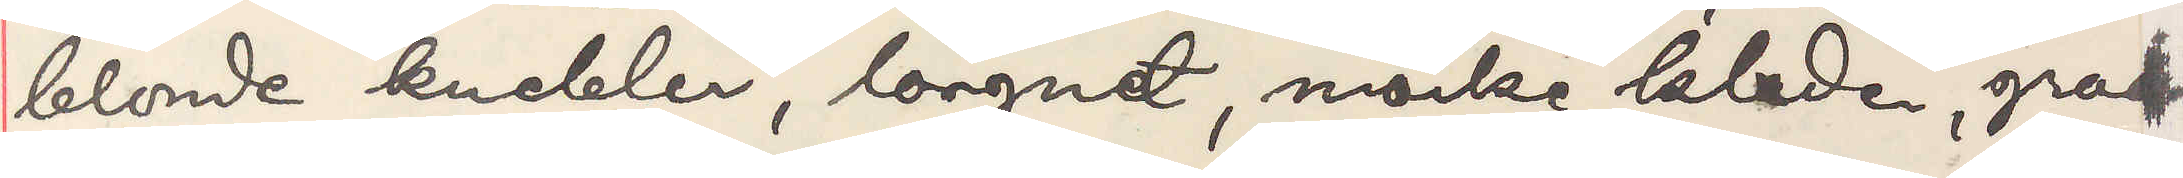blonde knebler, longnet, mörke klader, graa¬
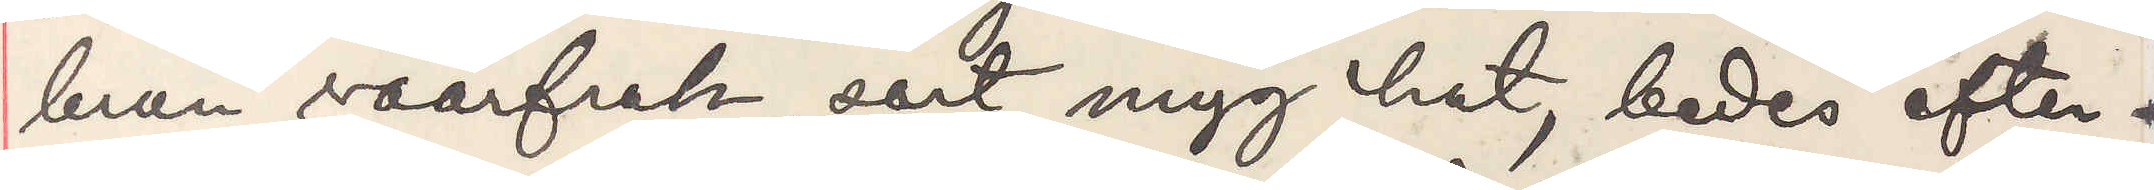brun vaarfrak, sort myg hat, bedes efter¬
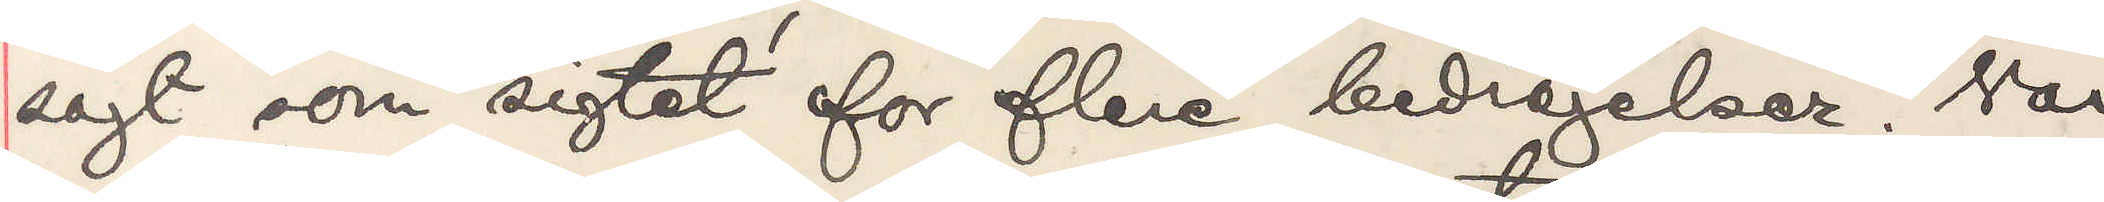sögt som sigtet for flere bedragelser. Var
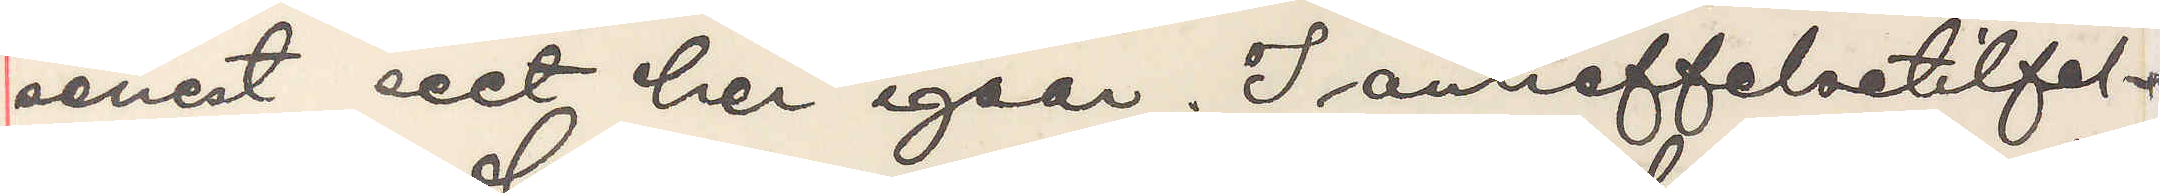senest seet her igaar. I antreffelsetilfel¬
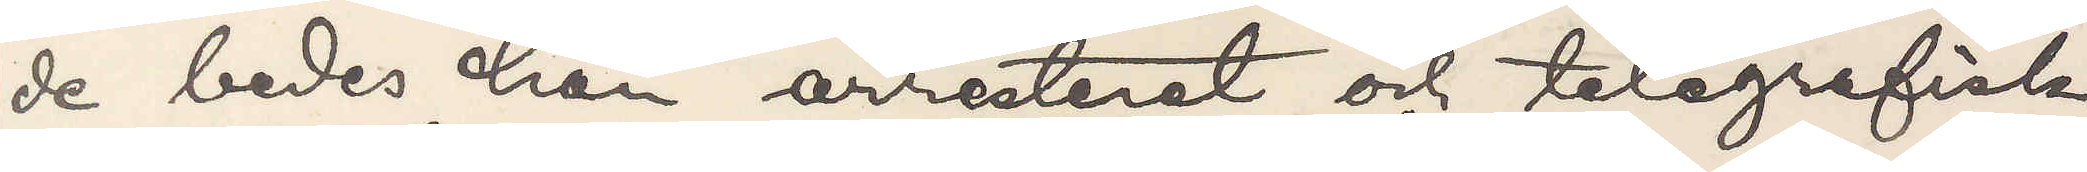de bedes han arresteret och telegrafisk
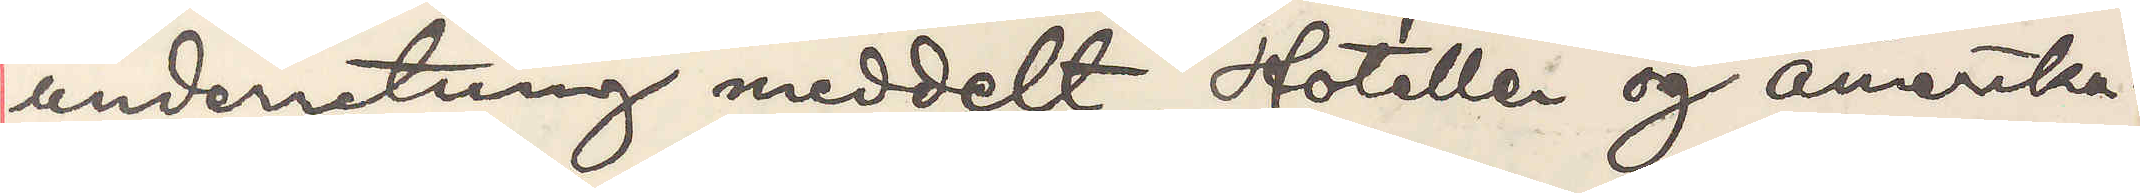underretning meddelt. Hotellen og amerika¬
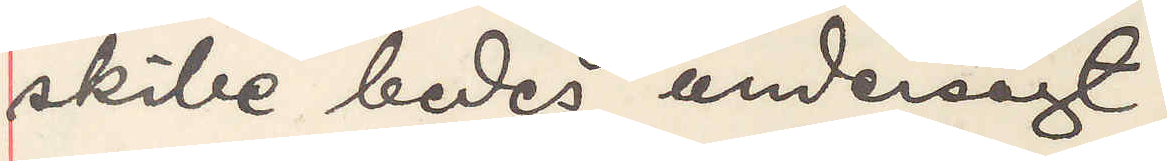skibe bedes undersögt.
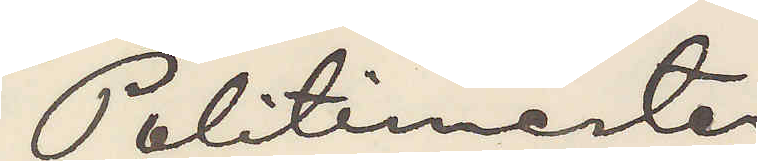Politimester
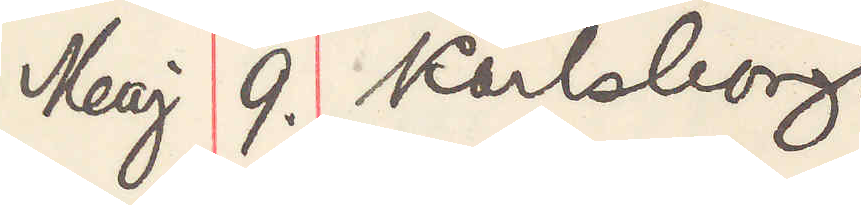Maj 9. Karlsborg
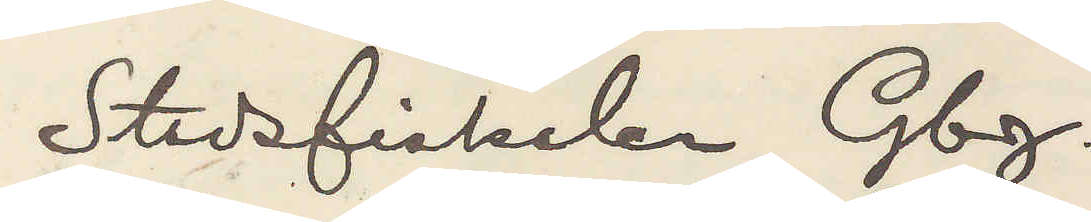Stadsfiskalen Gbg.
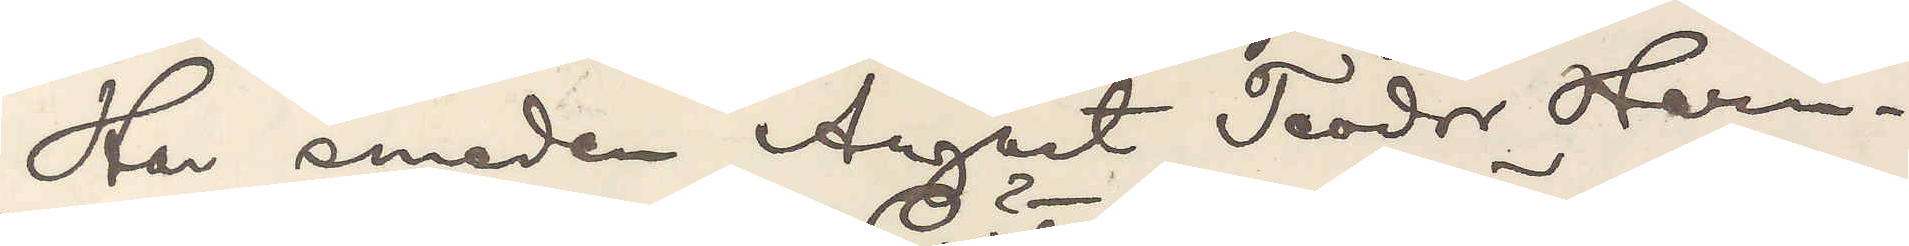Har smeden August Teodor Hern¬
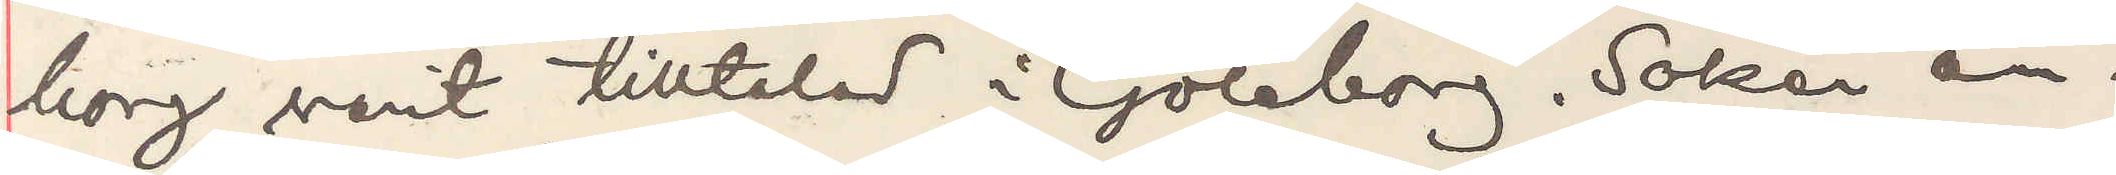borg varit tilltalad i Göteborg. Söker an¬
